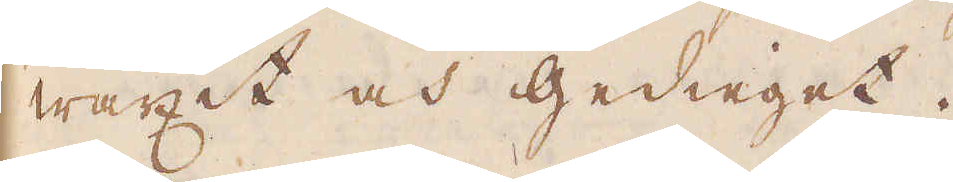wäxit och gedieget.
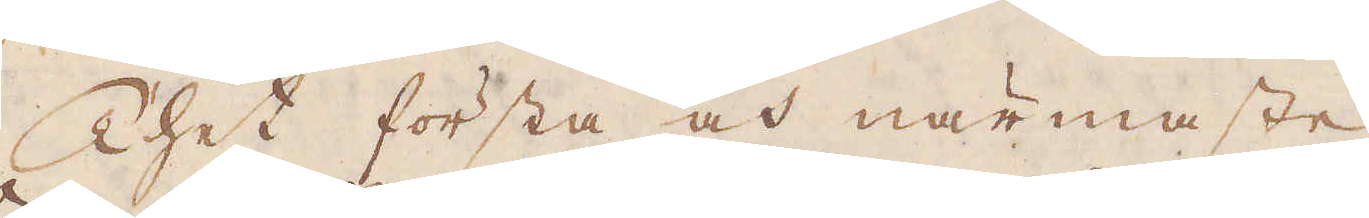Thet första och närmaste
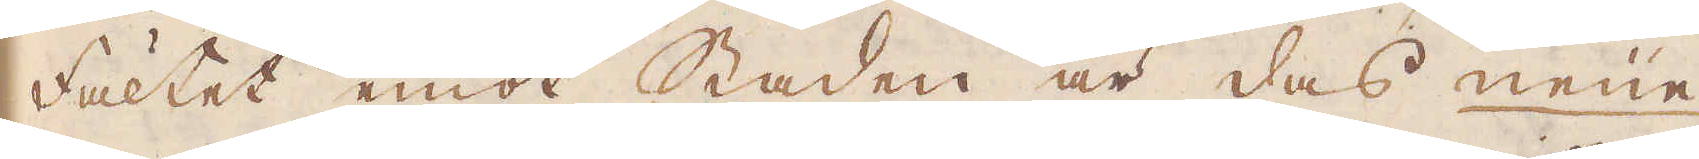Fältet emot Staden är das Neue
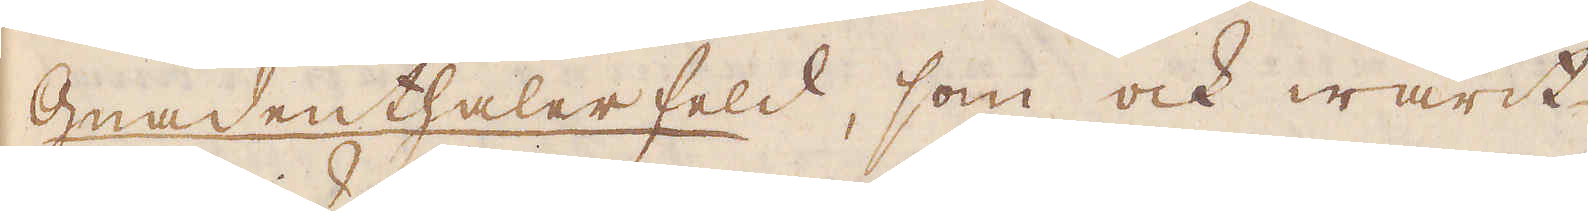Gnadenthaler feld, som ock warit
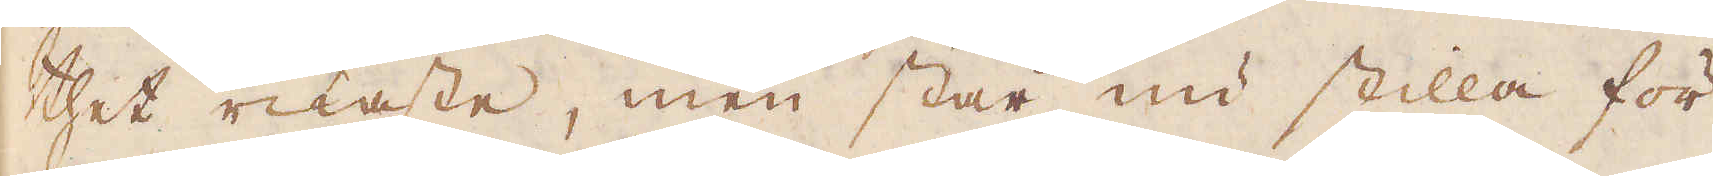thet rikaste, men står nu stilla för
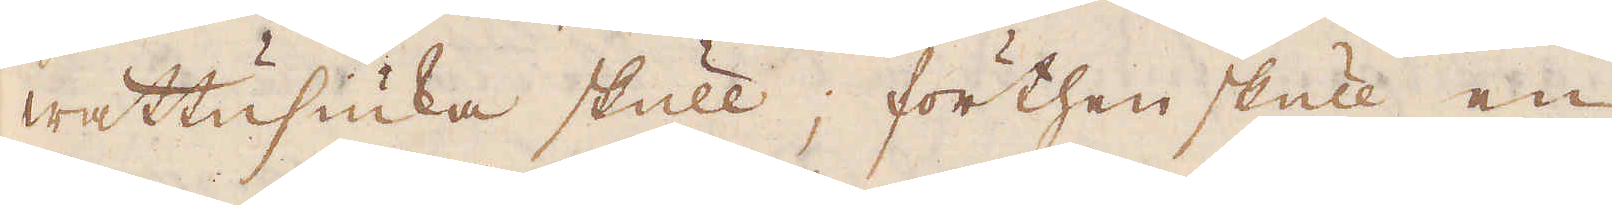wattusiuka skull; förthenskull en
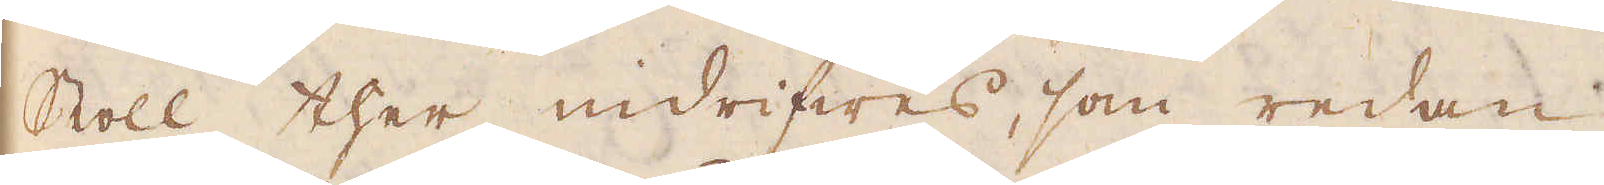Stoll ther indrifwes, som redan
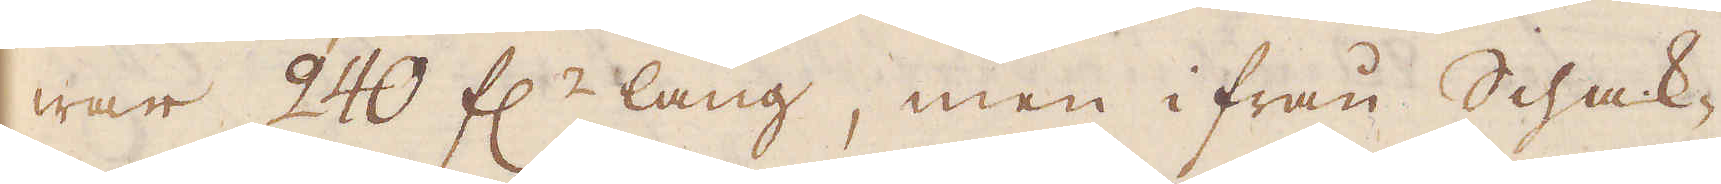war 240 f:r lång, men ifrån Schak-
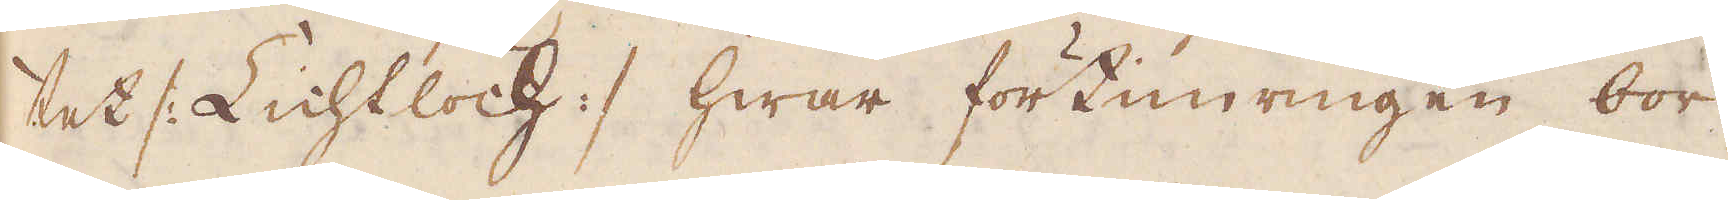tet /: Lichtloch :/ hwar förtimringen bör-
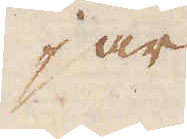jar
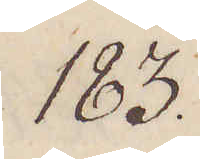183.
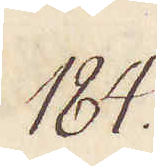184.
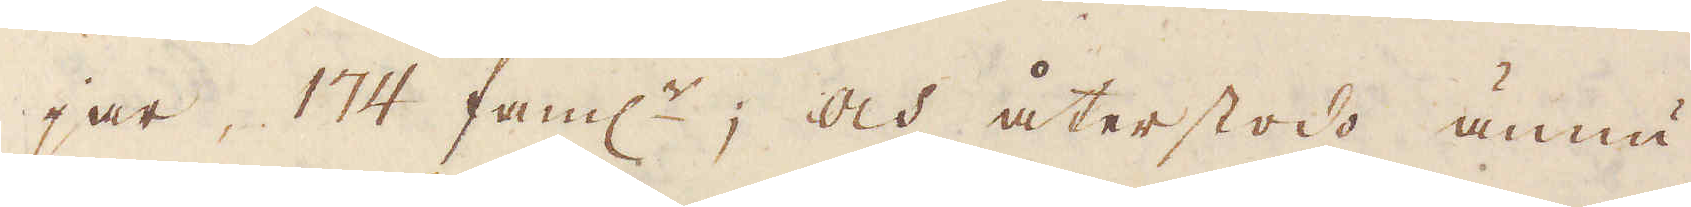jar, 174 fam:r, och återstodo ännu
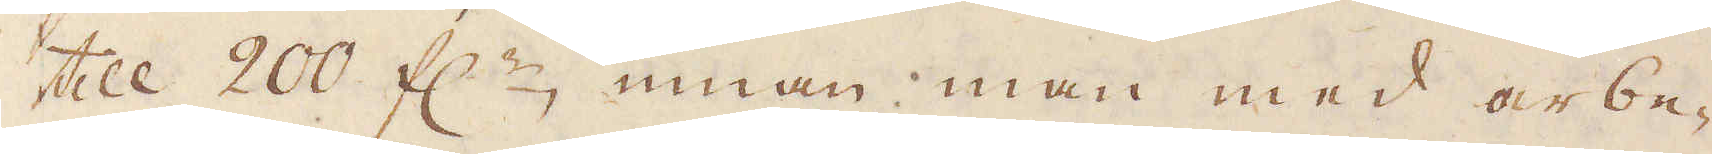till 200 f:r, innan man med arbe-
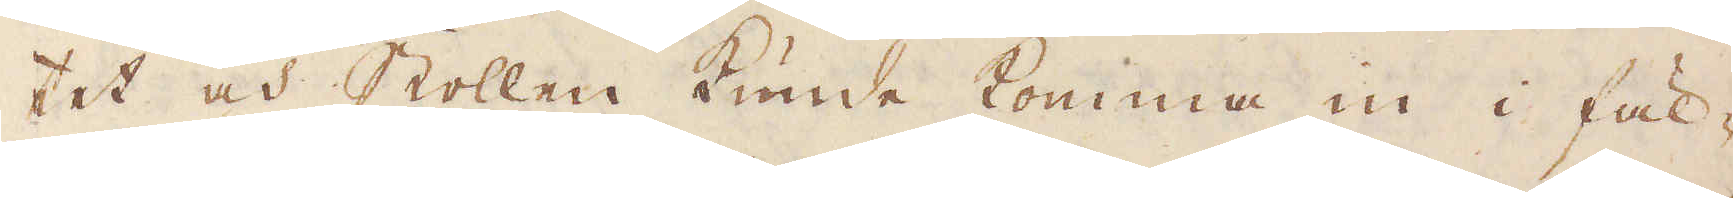tet och Stollen kunde komma in i fäl-
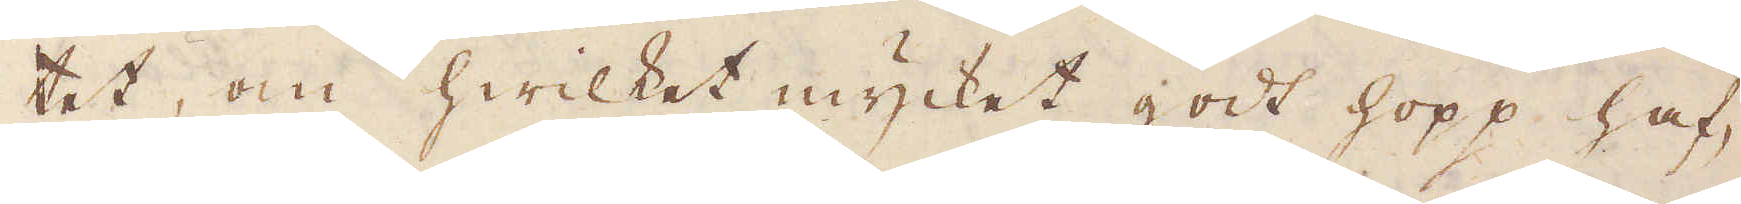tet, om hwilket mycket godt hopp haf-
